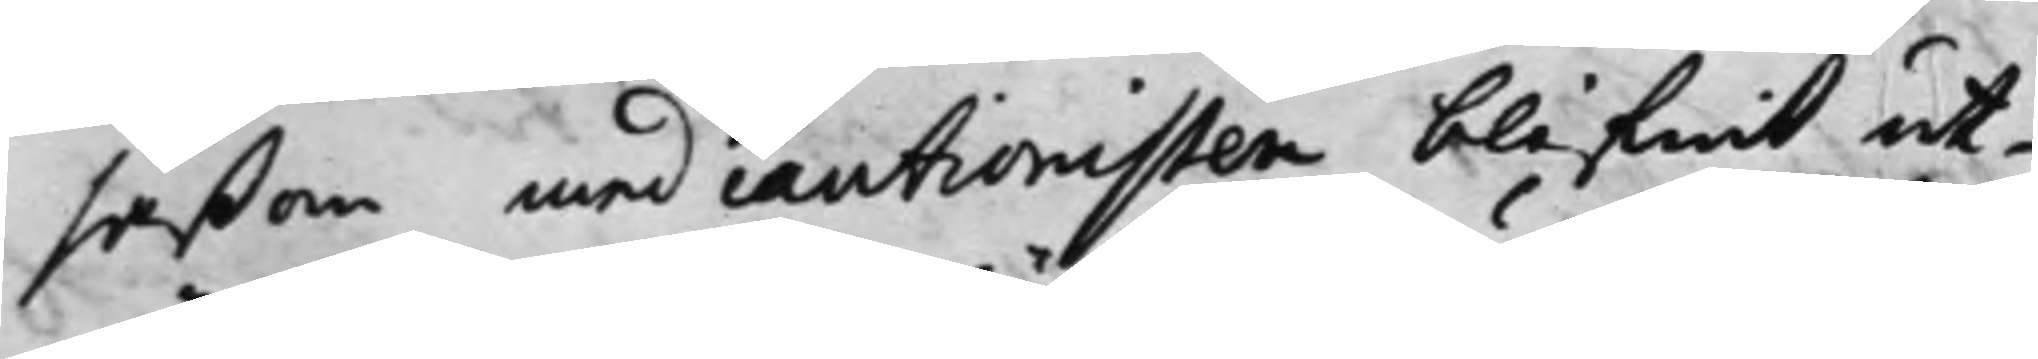såßom med cautionisten blifwit ut¬
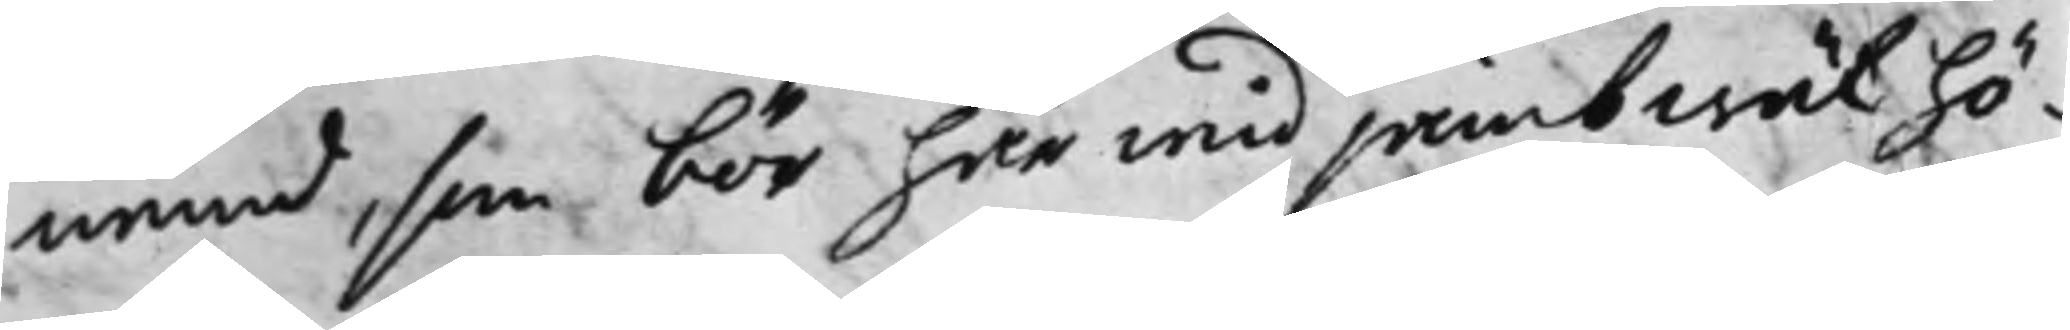nämd, som bör här wid jämbwäl hö¬
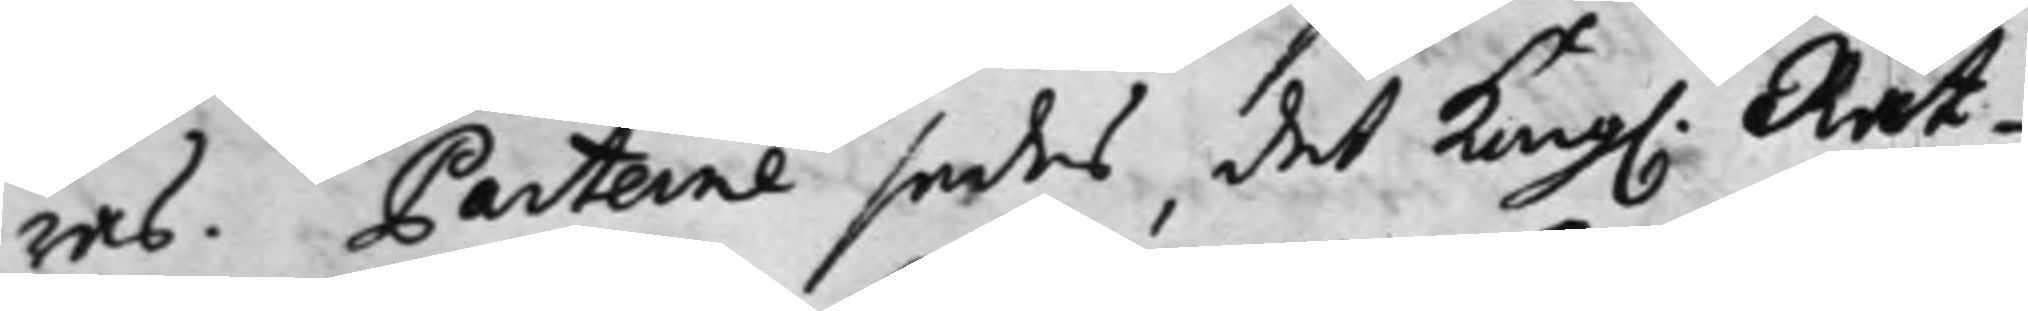ras. Parterne sades, det Kong. Rät¬
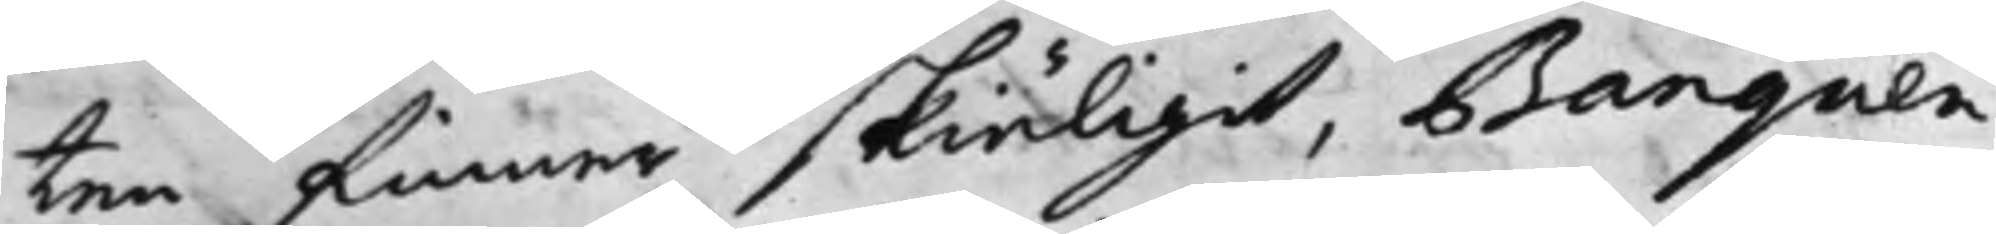ten finner skiäligit, Banquen
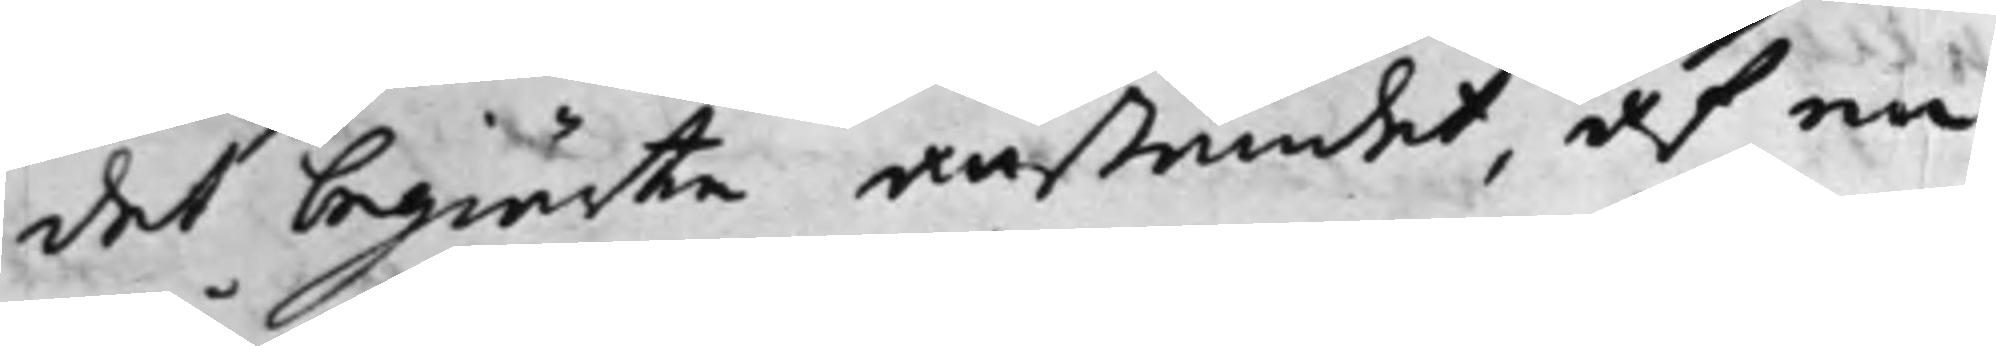det begiärte anståndet, af en
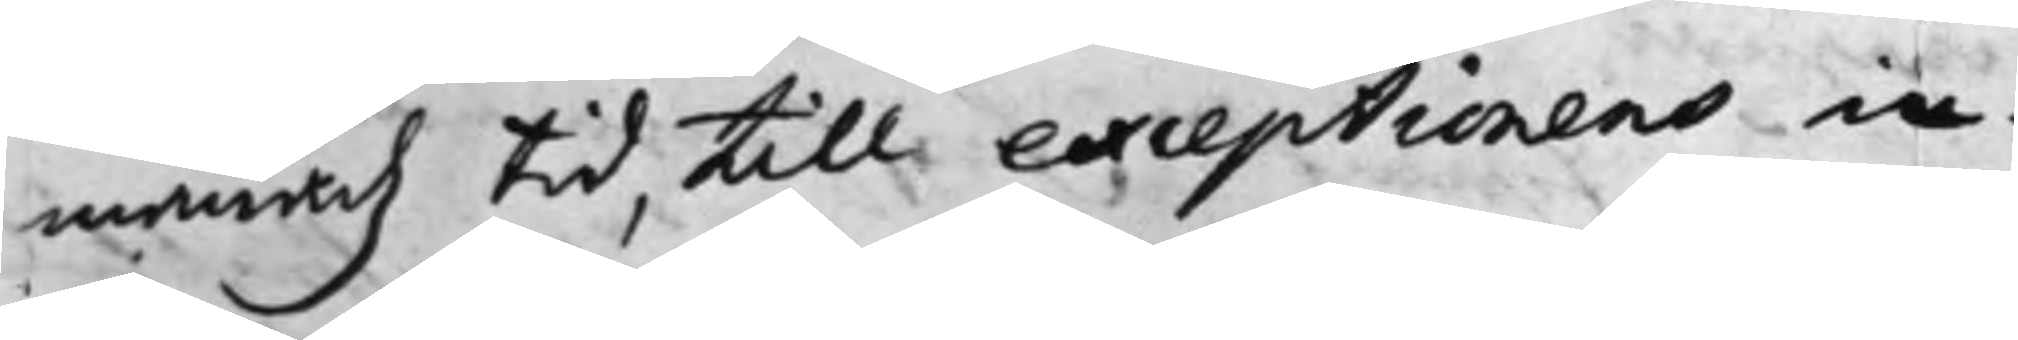månadz Tid, till exceptionens in¬
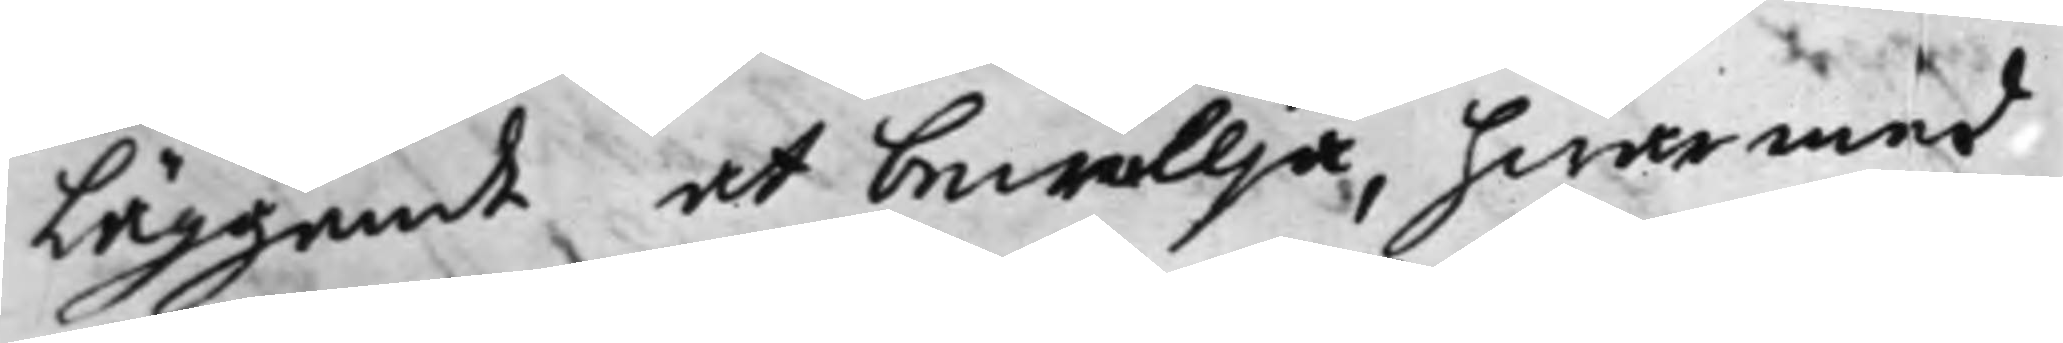Läggande at bewillja, hwarmed
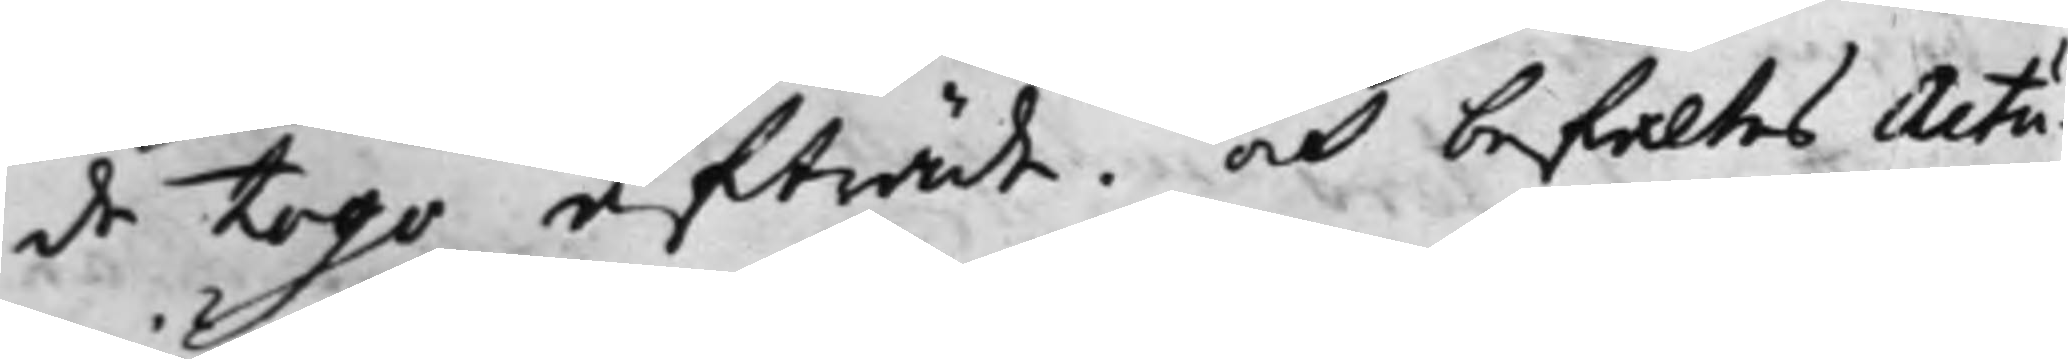de togo afträde. och befaltes Actu¬
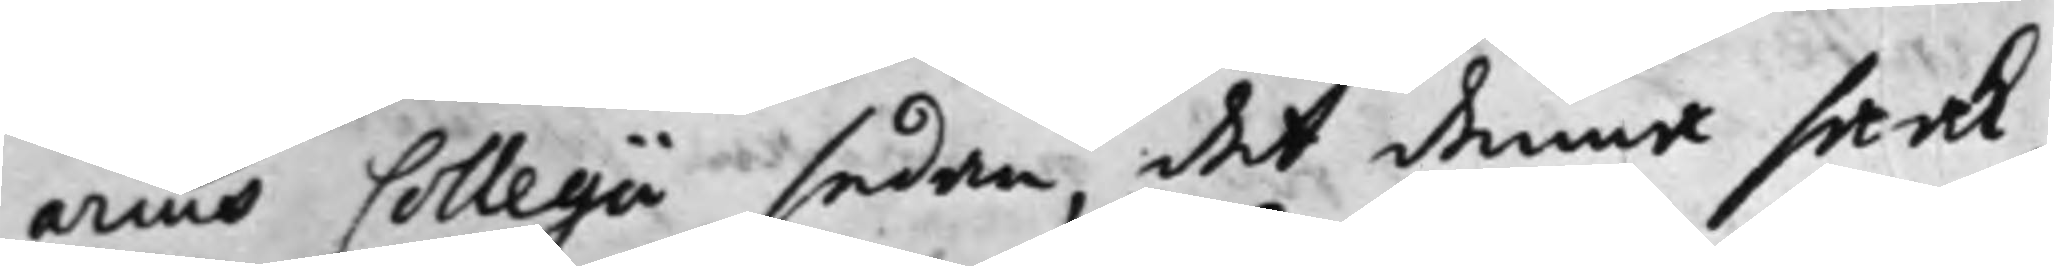arius Collegii sedan, det denna saak,
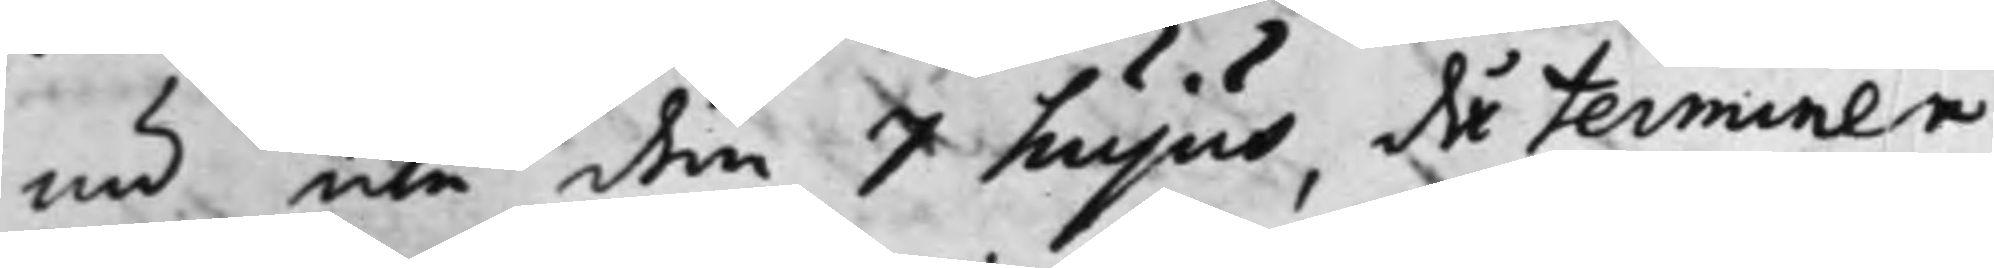nu icke den 7 hujus, då terminen
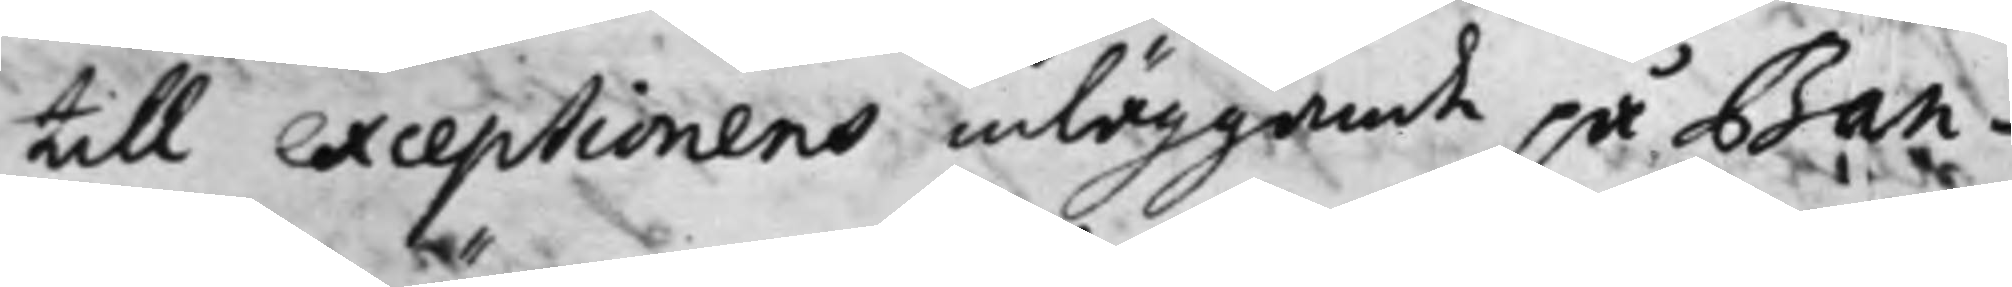till exceptionens inläggande på Ban¬
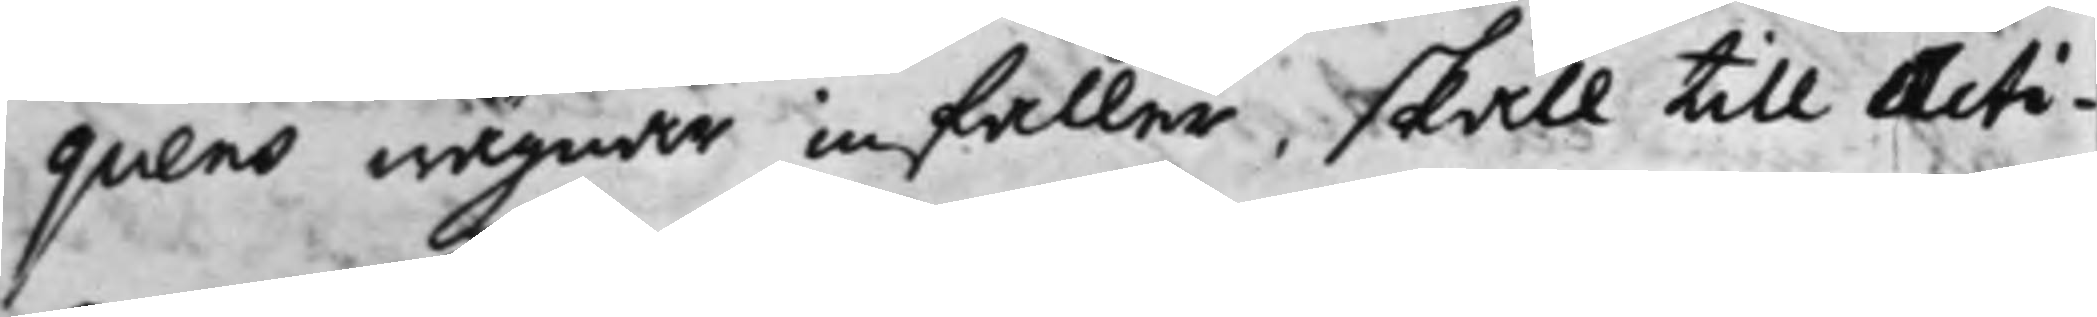quens wägnar infaller, skall till Acti¬
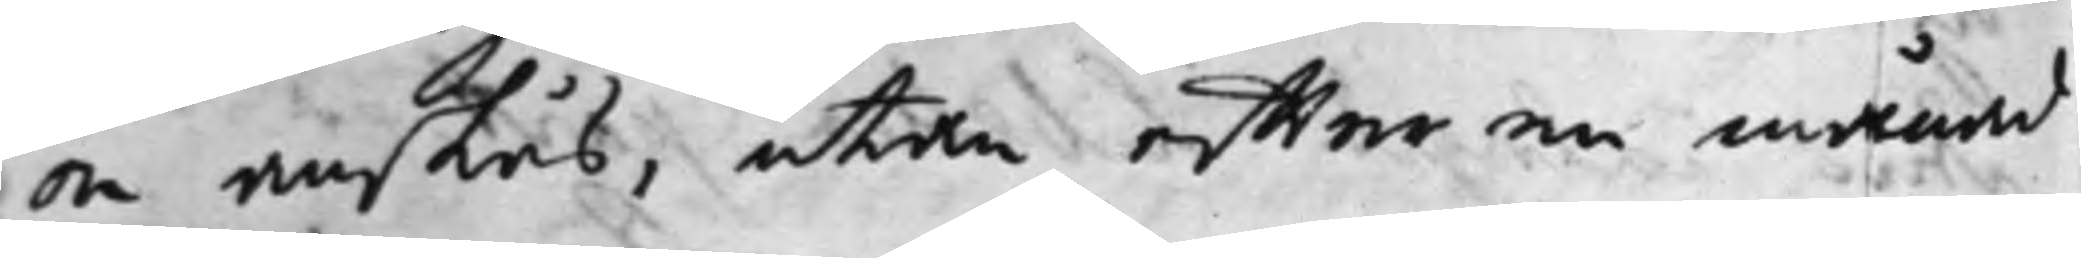on anslås, utan effter en månad
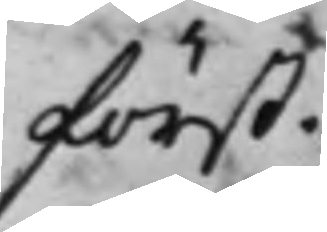först.
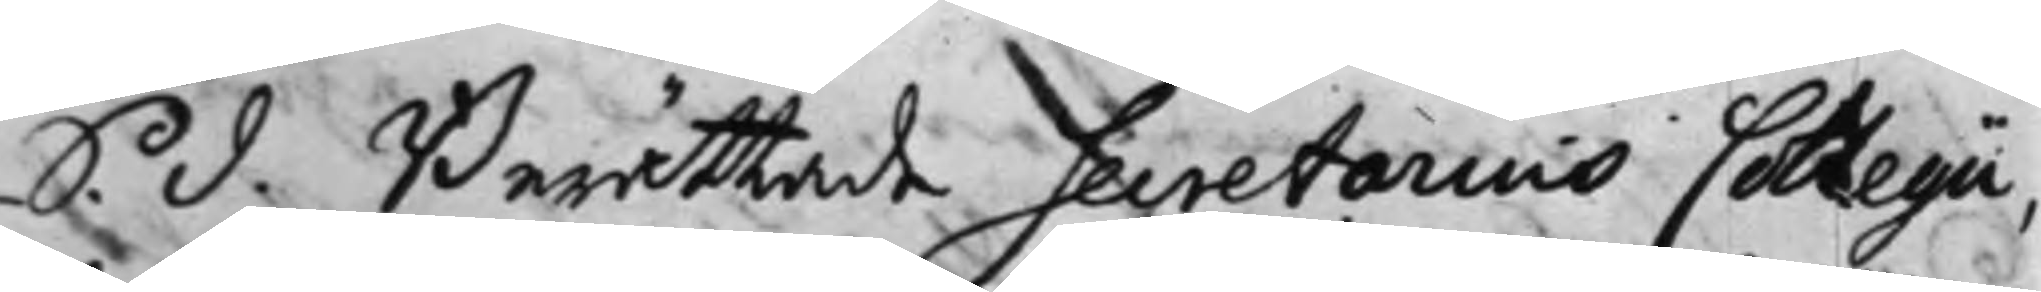S. d. Berättade Secretarius Collegii,
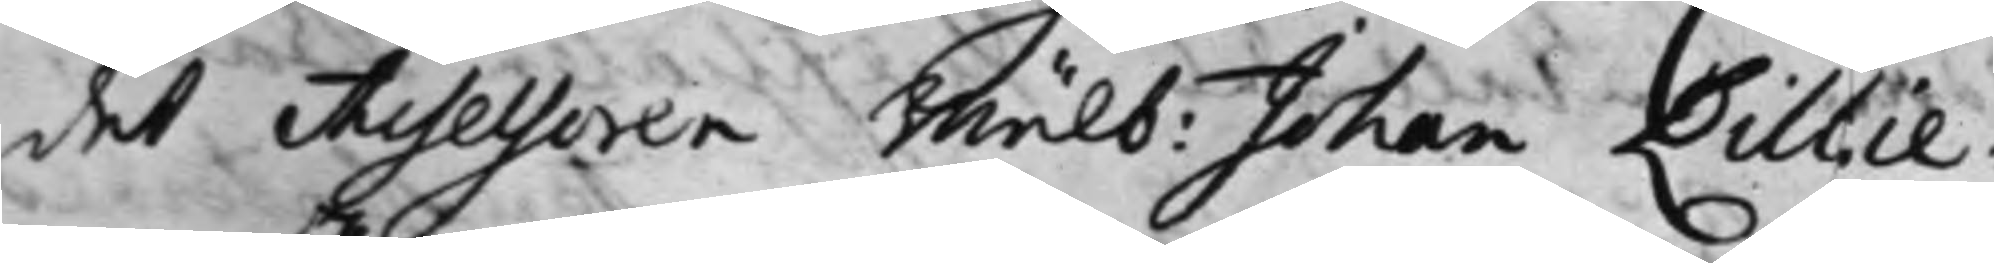det Assessoren Wälb: Johan Lillie¬
